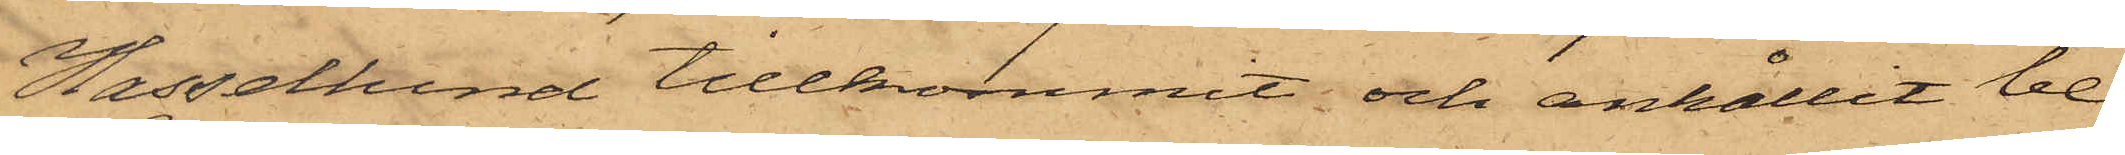Hassellund tillkommit och anhållit be¬
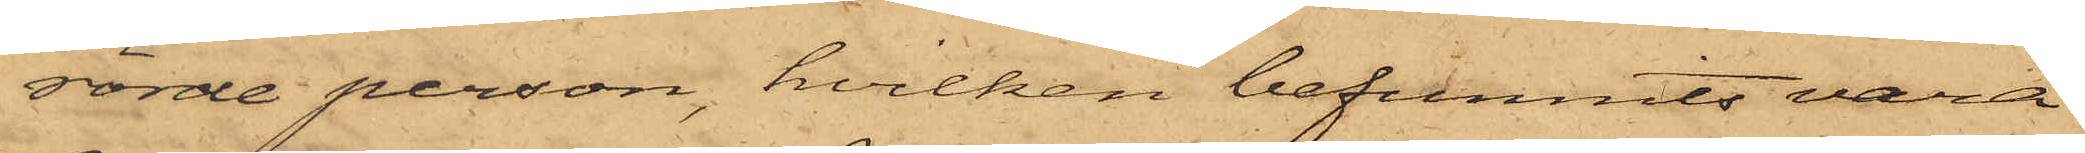rörde person, hvilken befunnits varit
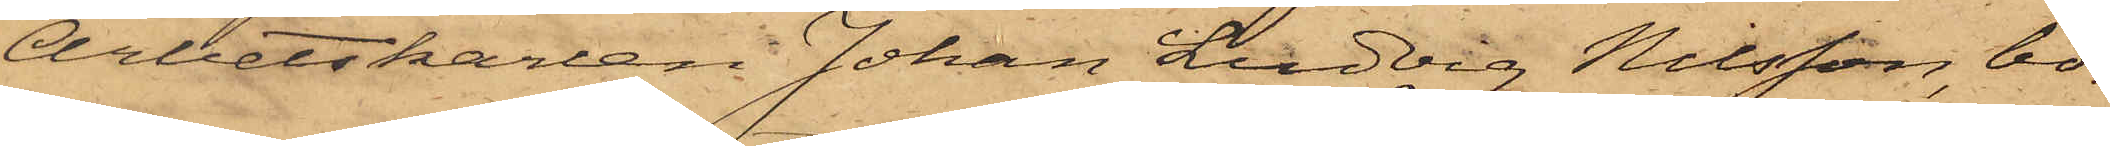Arbetskarlen Johan Ludvig Nilsson, bo¬
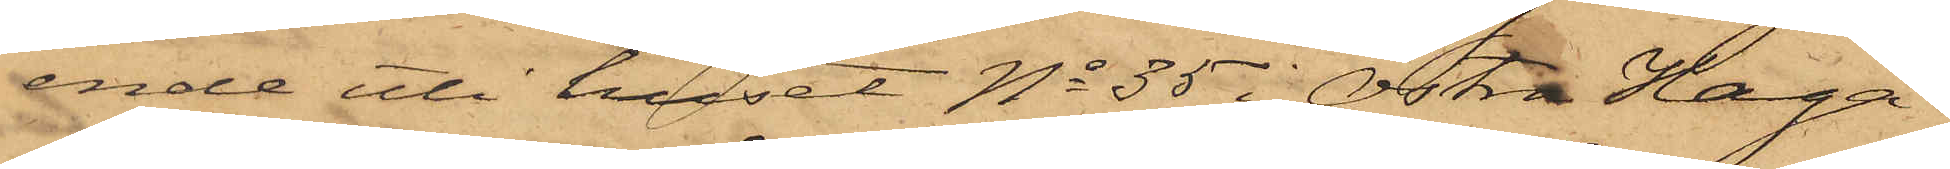ende uti huset No 35 i Östra Haga.
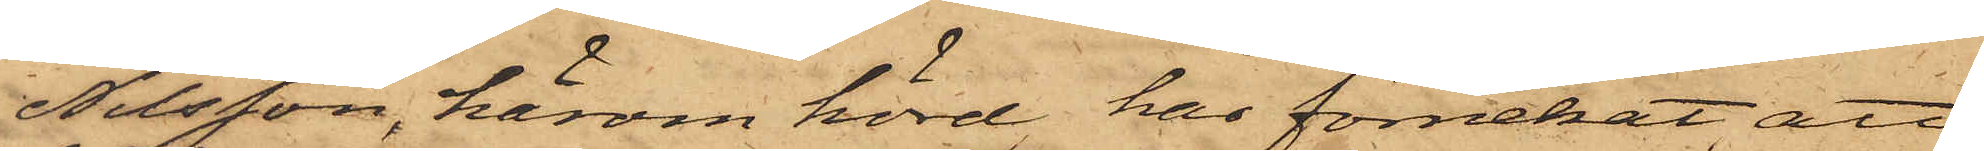Nilsson, härom hörd, har förnekat att
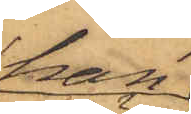han
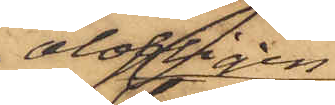olofligen
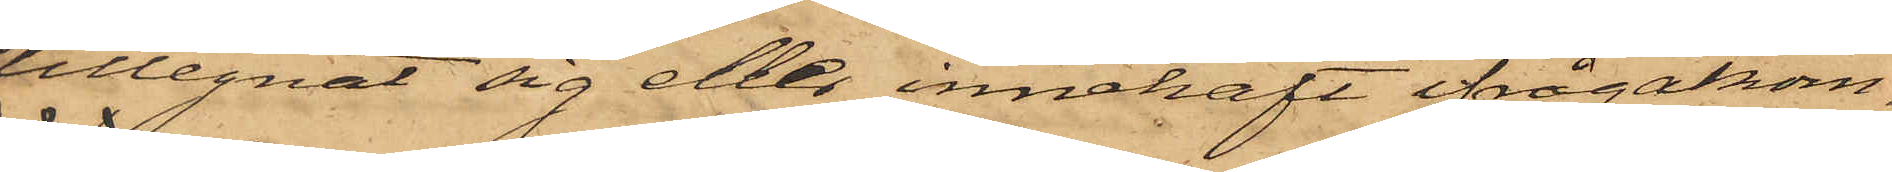tillegnat sig eller innehaft ifrågakom¬
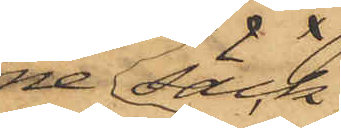ne säck,
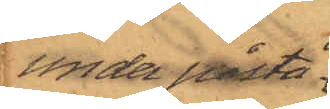under påstå¬
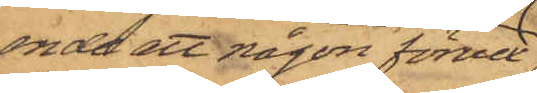ende att någon förvex¬
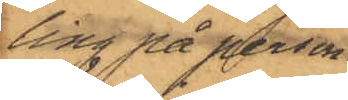ling på person
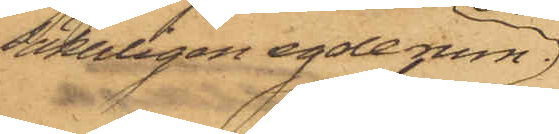säkerligen egde rum,
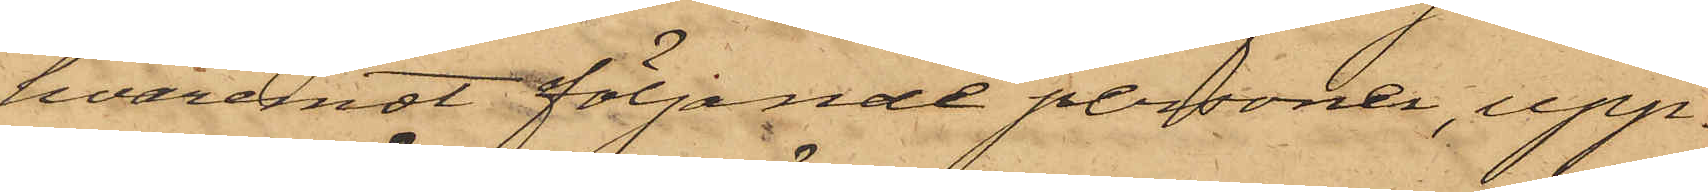hvaremot följande personer, upp¬
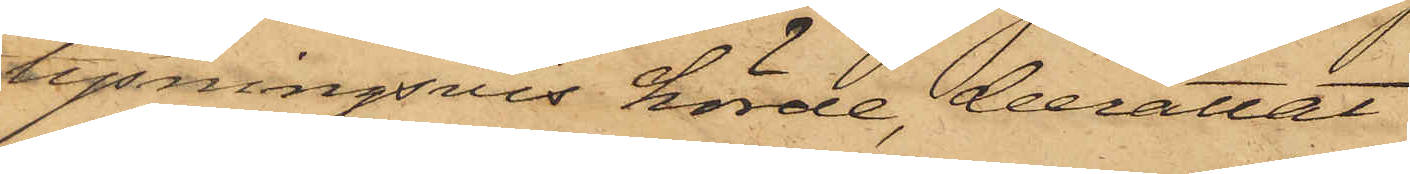lysningsvis hörde, berättat
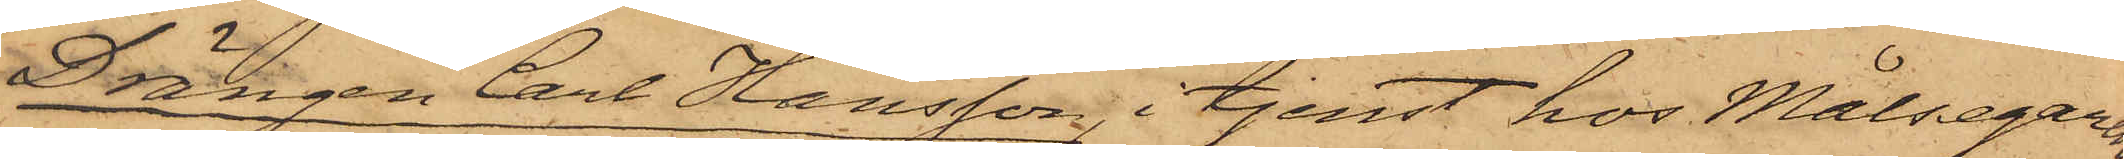Drängen Carl Hansson, i tjenst hos Målsegaren
